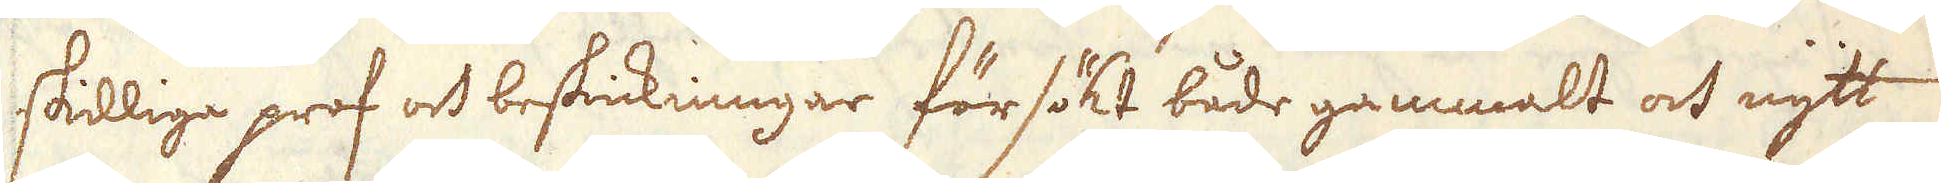skilliga prof och beskickningar försökt både gammalt och nytt
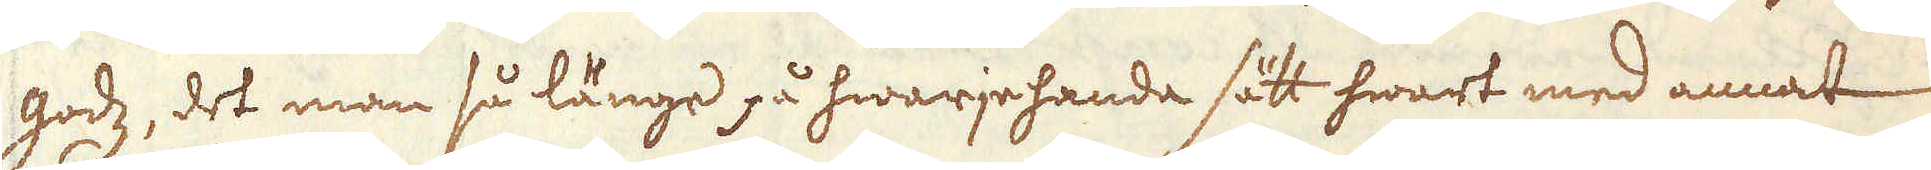godz, det man så länge på hwarjehanda sätt hwart med annat
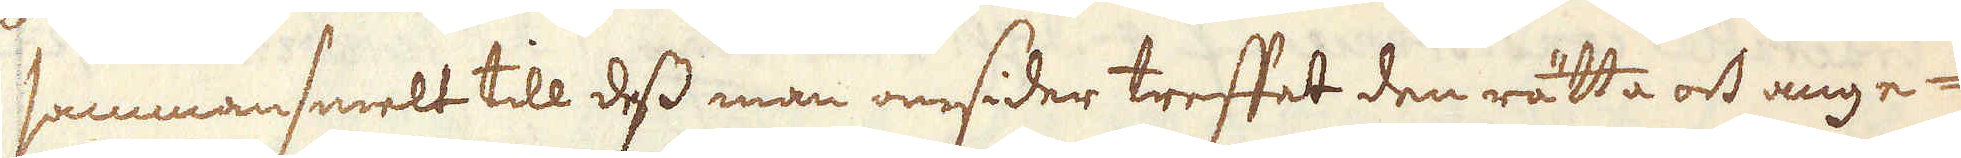sammansmelt till dess man omsider treffat den rätta och ange-
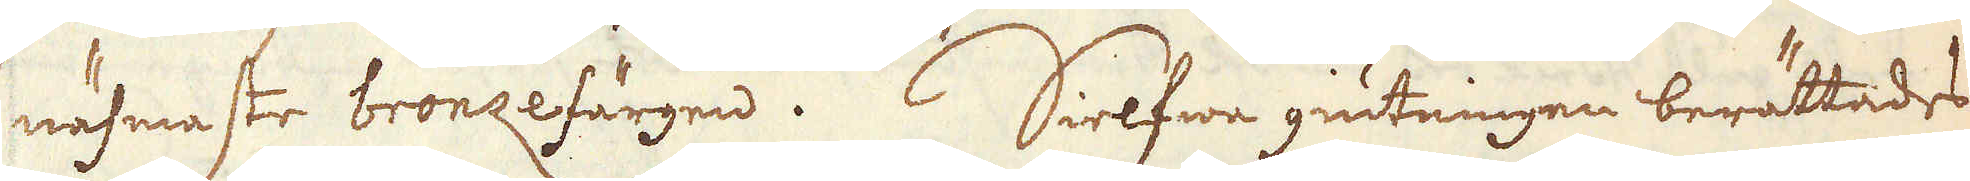nähmaste bronzefärgen.  Silfwer giutningen berättades
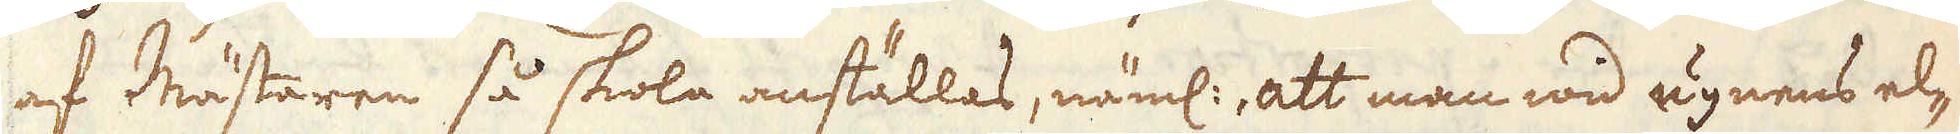af Mästaren så skiola anställas, näml: att man wid ugnens el-
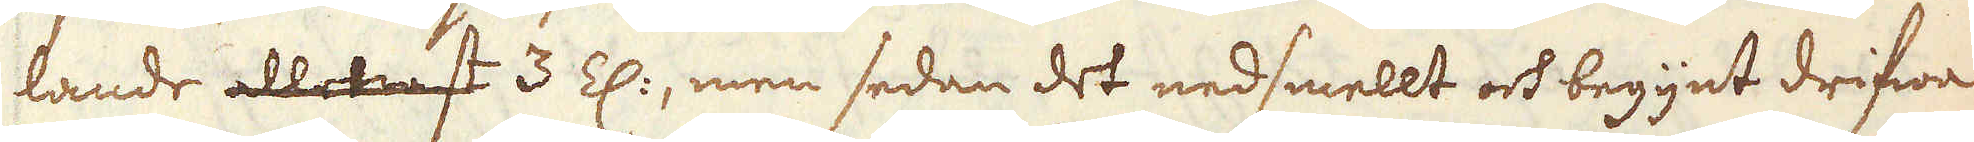lande allenast 3 E:, men sedan det nedsmellt och begynt drifwa
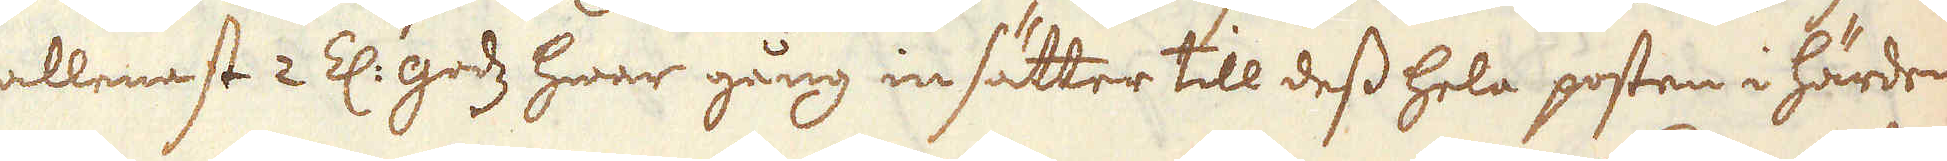allenast 2 E. godz hwar gång insätter till dess hela posten i härden
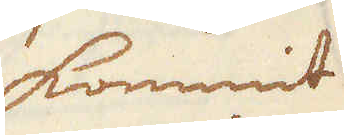kommit
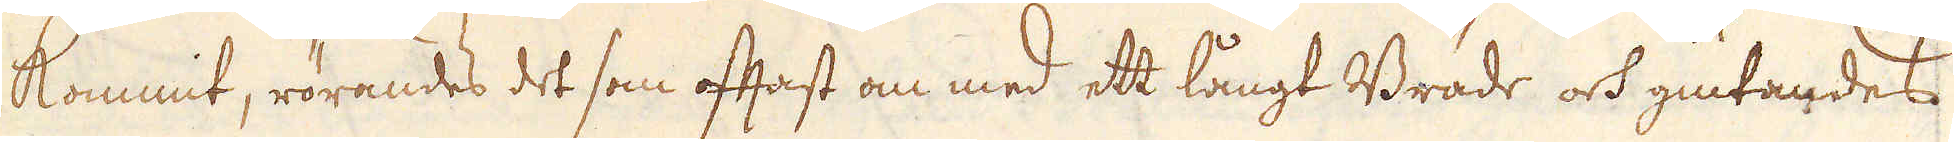kommit, rörandes det som oftast om med ett långt Bräde och giutandes
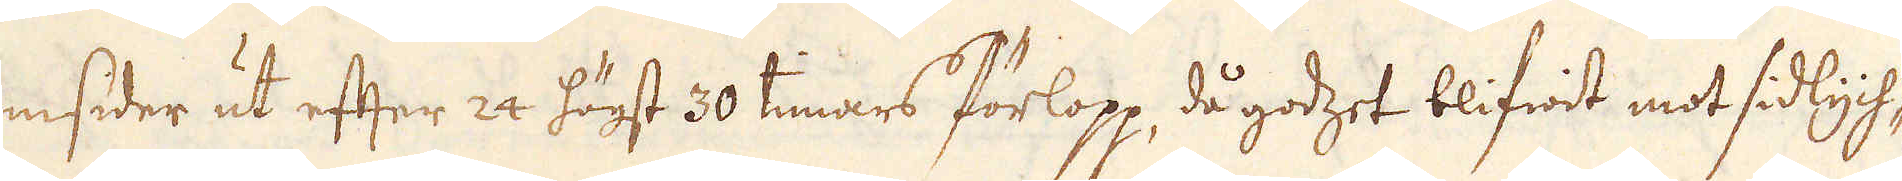omsider ut eften 24 högst 30 timars förlopp då godzet blifwit mot sidlych-
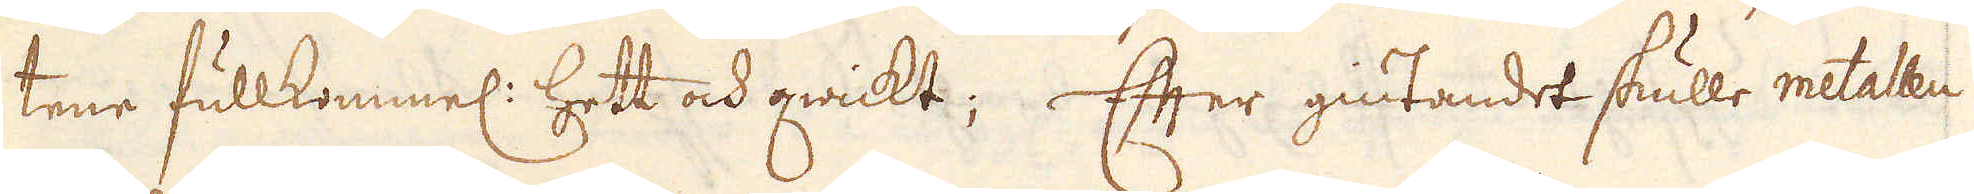tene fullkommel: hett och qwickt; Efter giutandet skulle metallen
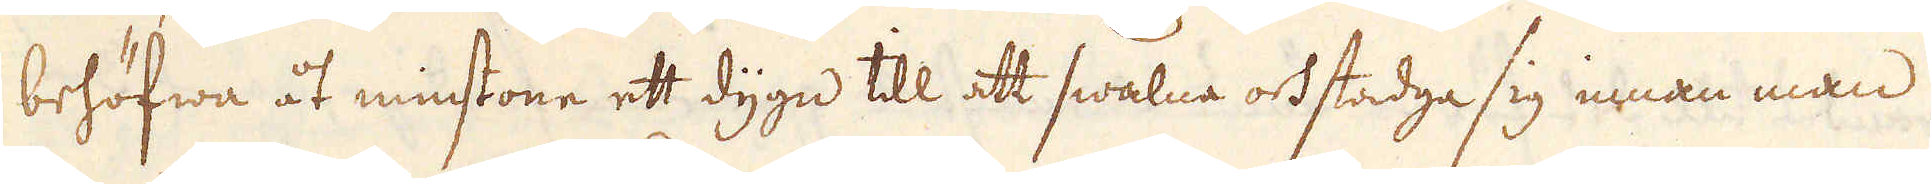behöfwa åt minstone ett dygn till att swalne och stadge sig innan man
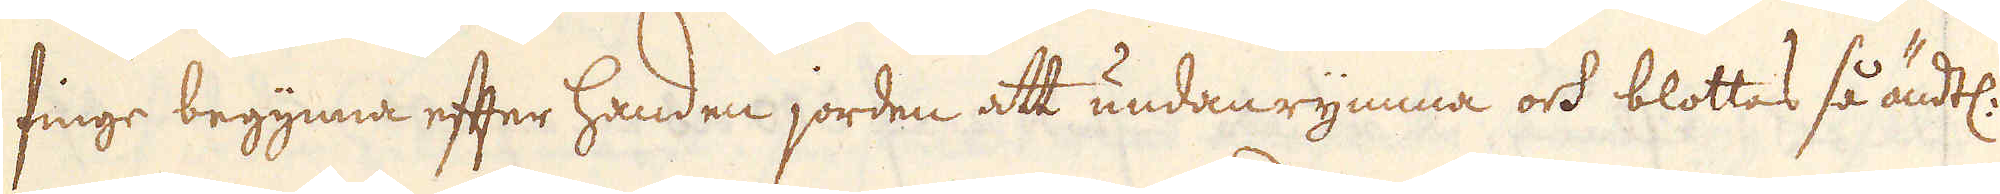finge begynna efter handen jorden att undanrymma och blottas så ändtel.
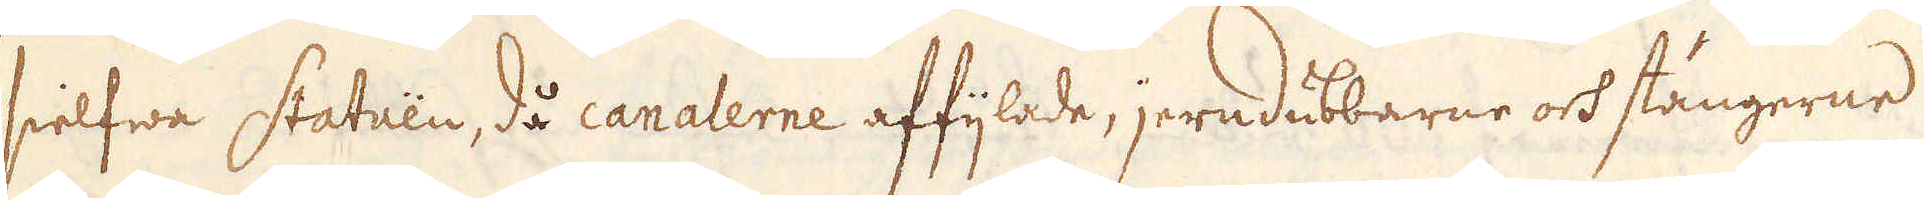sielfwa statuen, då canalerne affijlade, jerndubbarne och stängerne
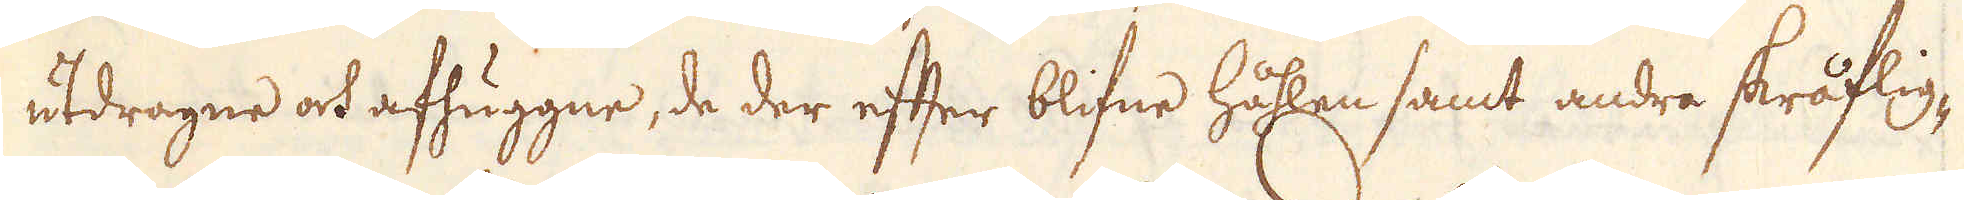utdragne ock afhuggne, de der efter blifwe hållne samt andre skråflig-
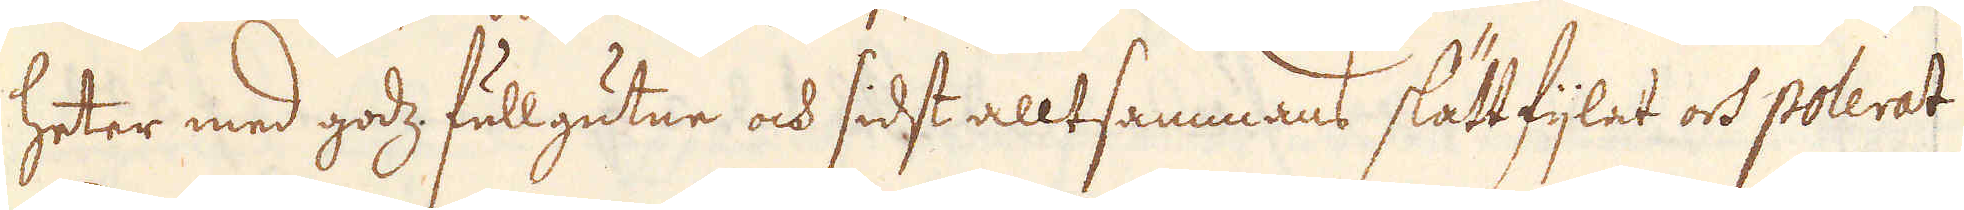heter med godz fullgutne och sidst allt sammans slättfijlat och polerat
